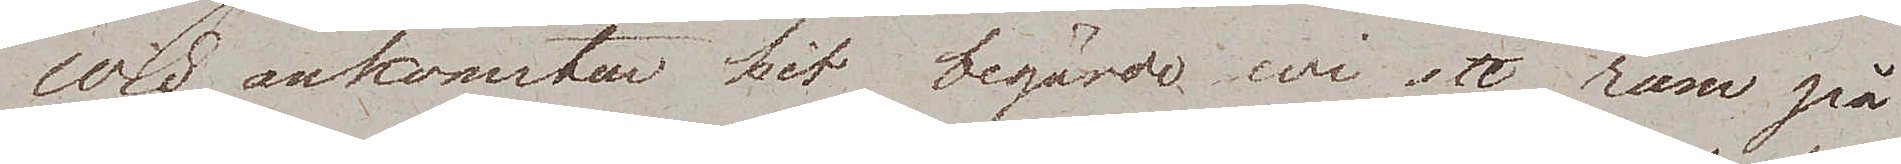Wid ankomsten hit begärde wi ett rum på
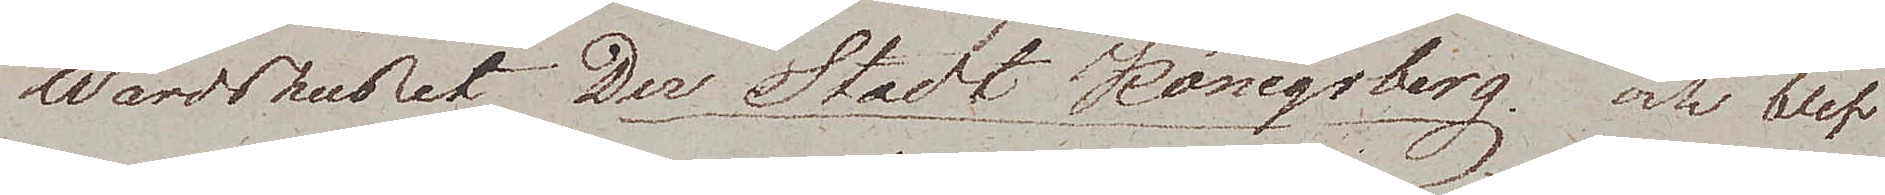Wärdshuset Der Stadt Königsberg, och blef
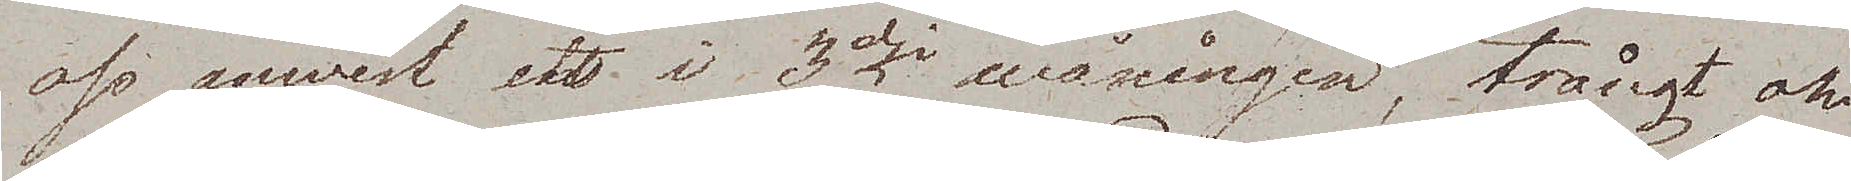oss anwist ett i 3dje wåningen, trångt och
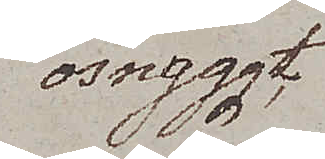osnyggt,
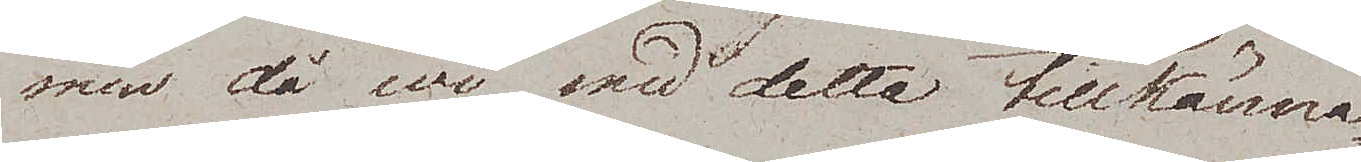men då wi med detta tillkänna¬
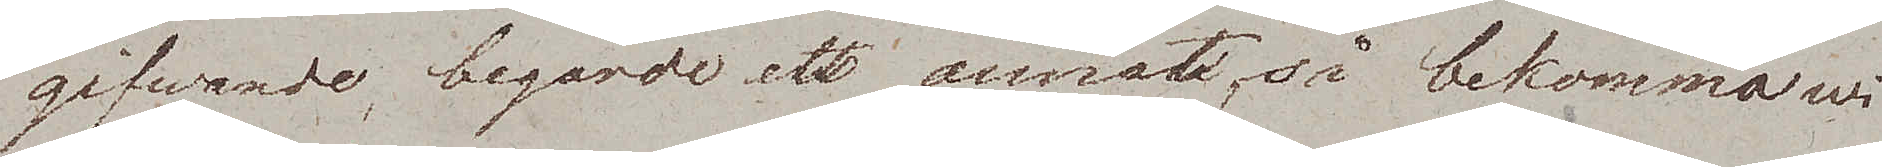gifvande begärde ett annat, så bekommo wi
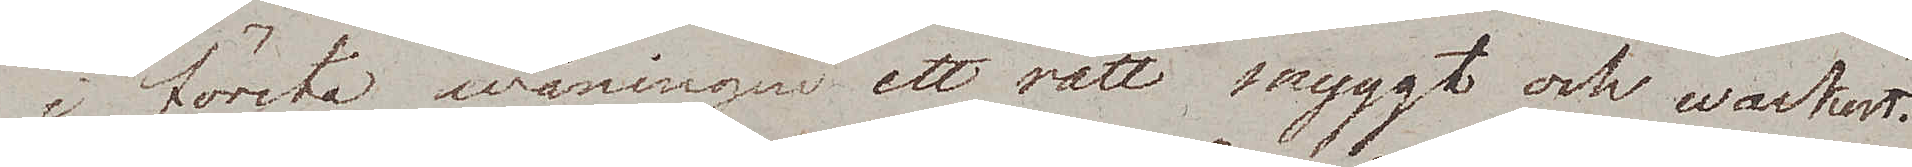i första wåningen ett rätt snyggt och wackert.
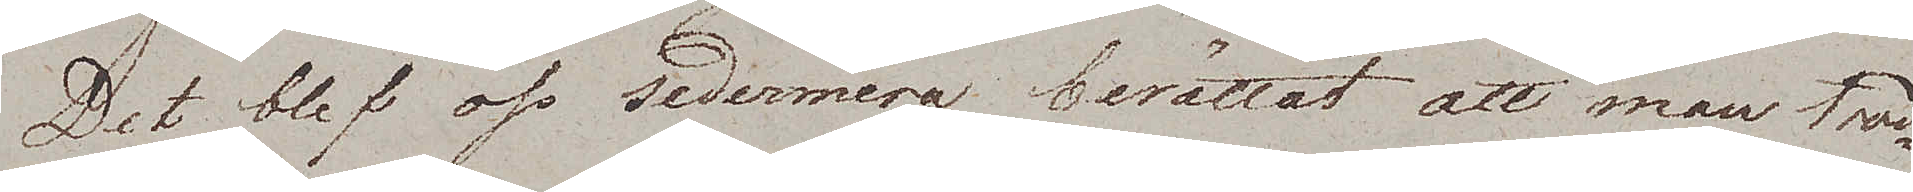Det blef oss sedermera berättat att man trod¬
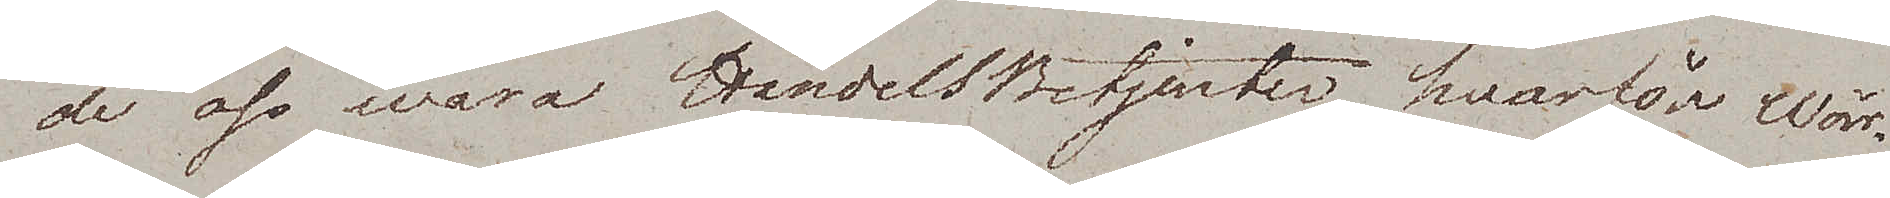de oss wara HandelsBetjenter hvarför wär¬
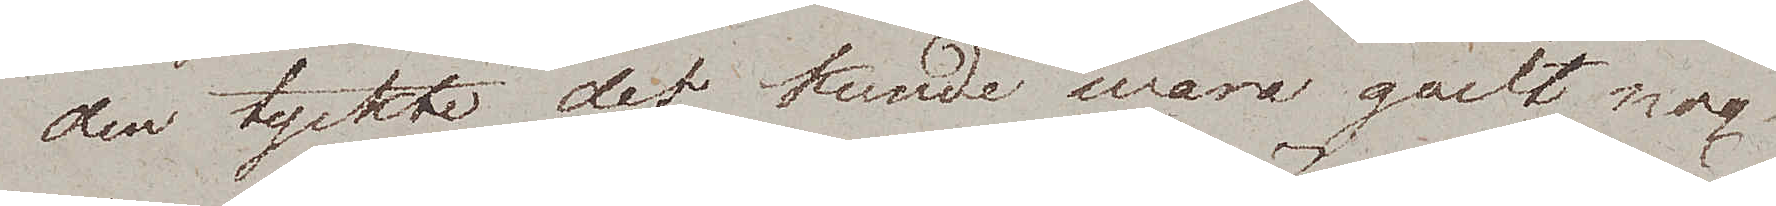den tyckte det kunde wara godt nog.
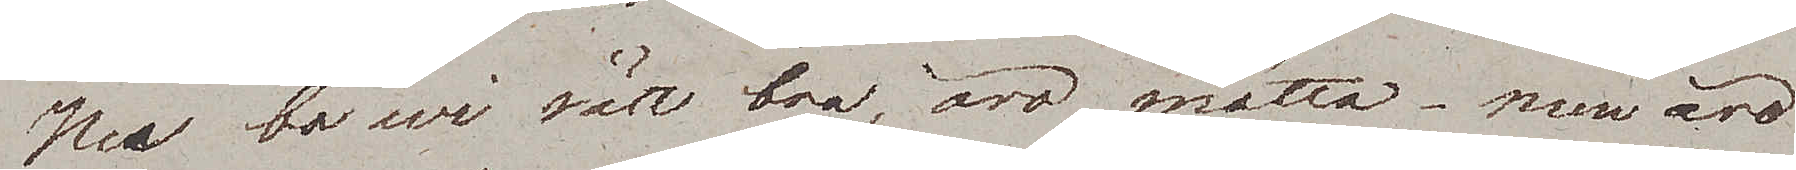Her bo wi rätt bra, äro mätta – men äro
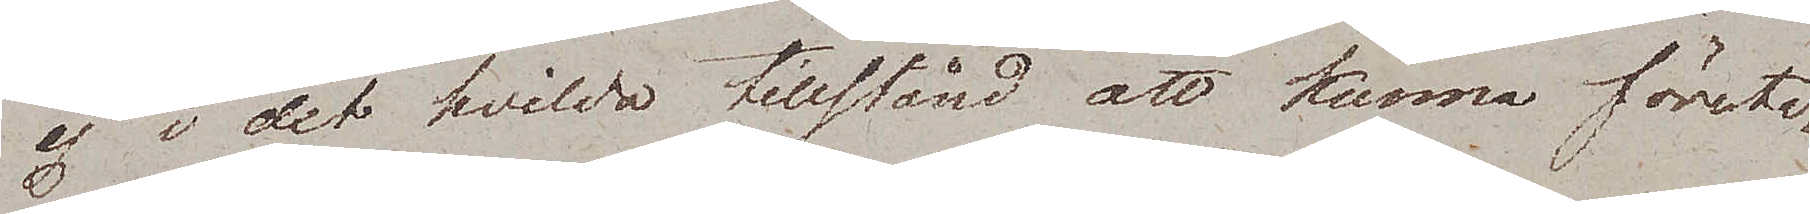ej i det hvilda tillstånd att kunna företa¬
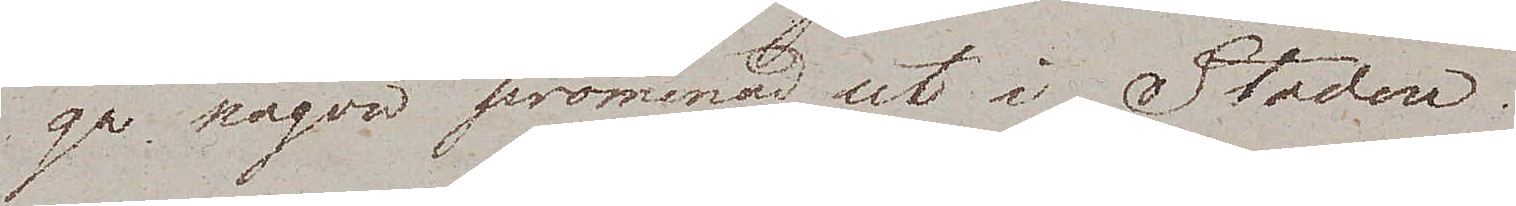ga någon promenad ut i Staden.
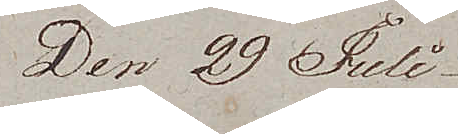Den 29 Juli
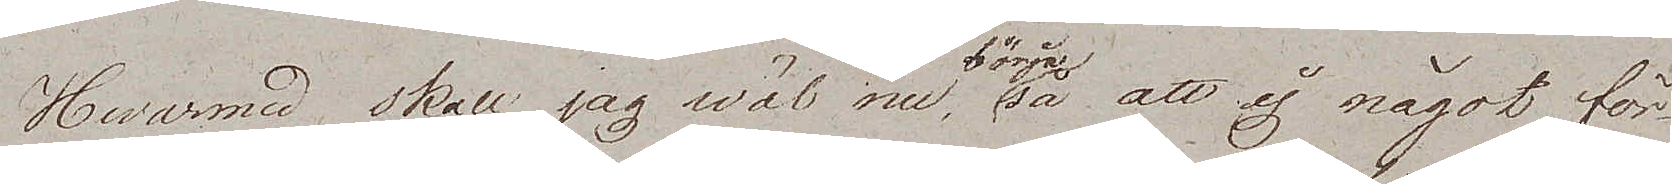Hvarmed skall jag wäl nu börja så att ej något för¬
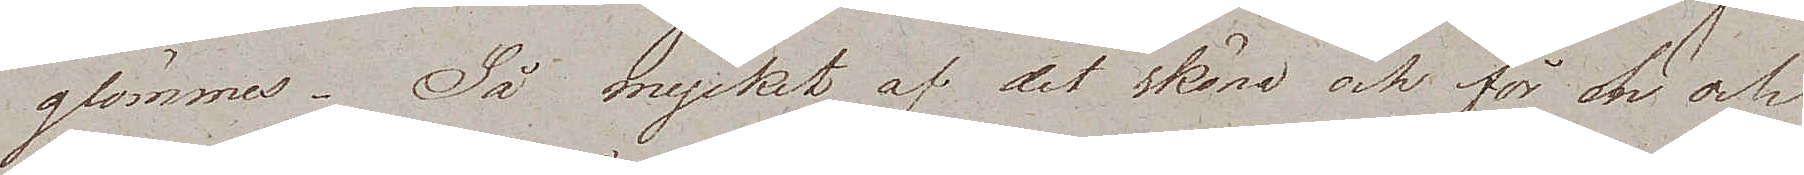glömmes. Så mycket af det sköna och för en och
